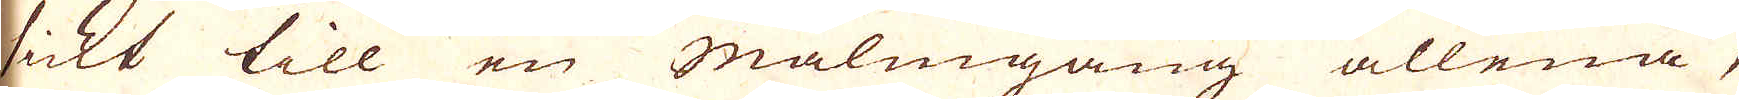sickt till en Malmgång allena,
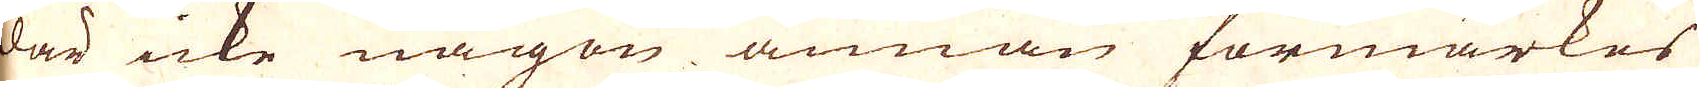där icke någon annan förmärkes
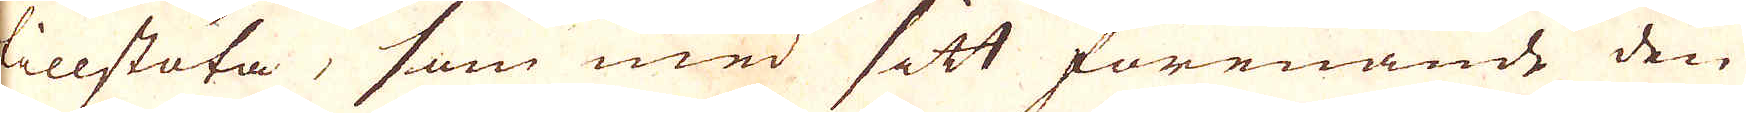tillstöta, som med sitt förenande den
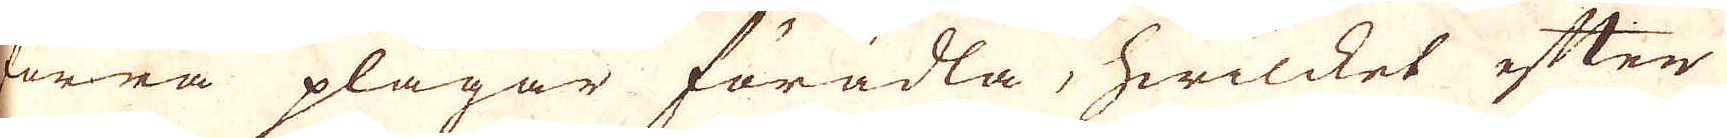förra plägar förädla, hwilcket efter
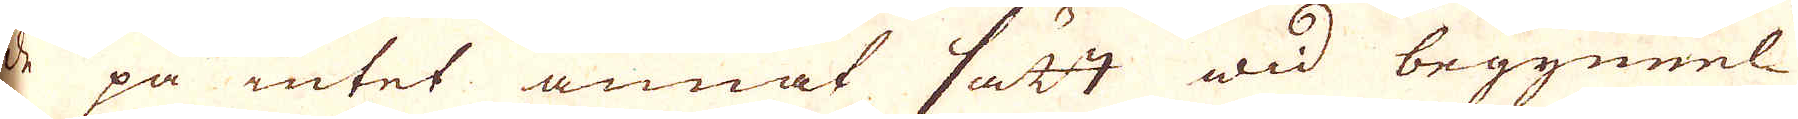de på intet annat sätt wid begynnel-
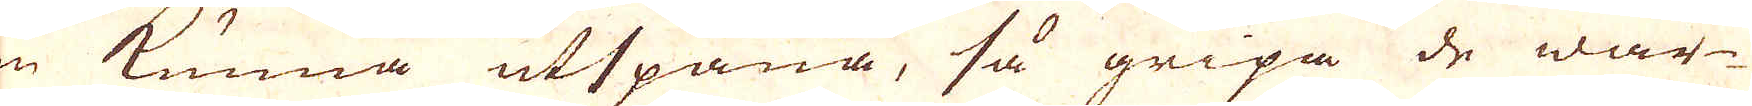sen kunna utspana, så gripa de wär-
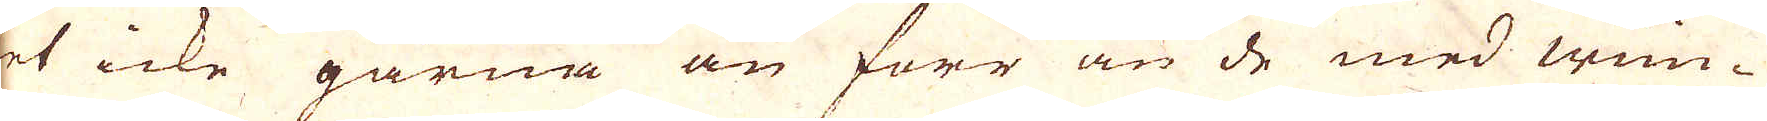ket icke gärna an förr än de med wün-
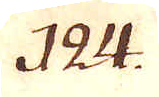124.
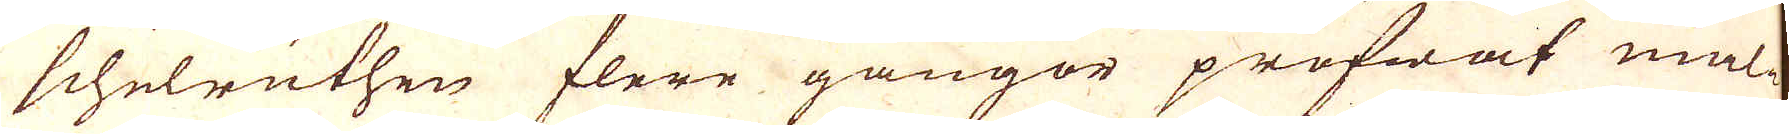schelruthen flere gångor pröfwat mal-
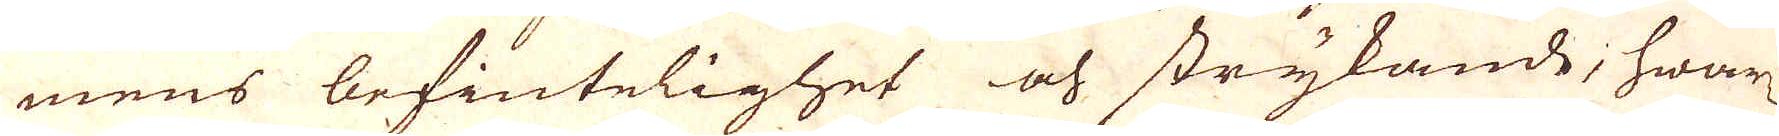mens befintelighet och strykande, hwar-
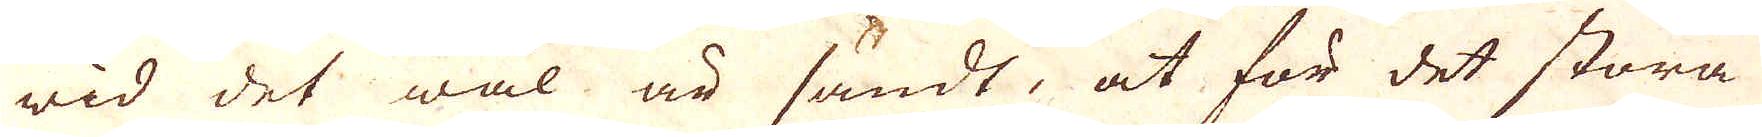wid det wäl är sandt, at för det stora
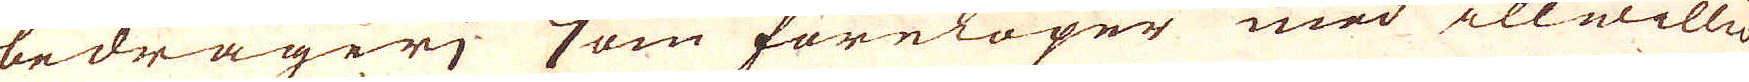bedrägeri, som förelöper med illwilli-
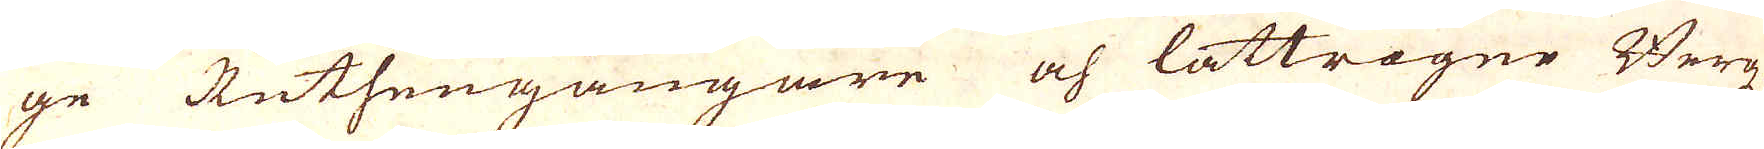ge Ruthengångare och lättrogne Bergz-
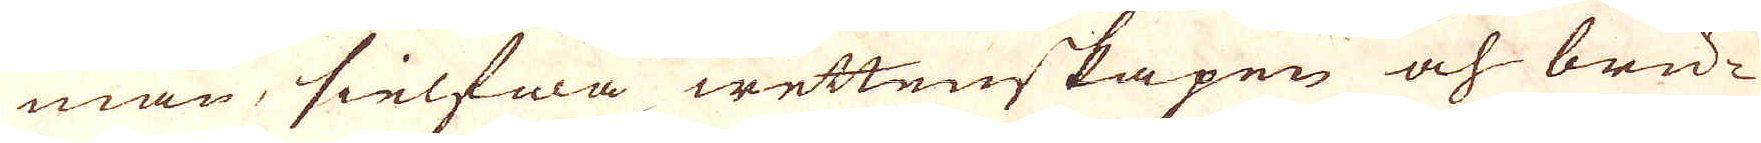män, sielfwa wettenskapen och bru-
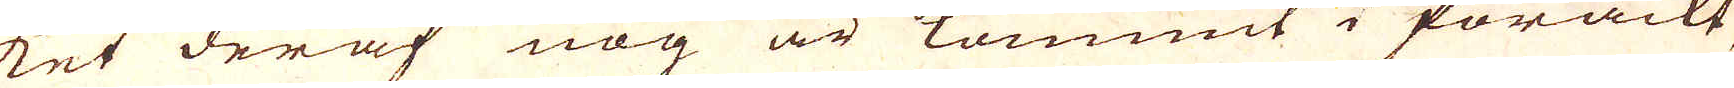ket deraf nog är kommit i förackt,
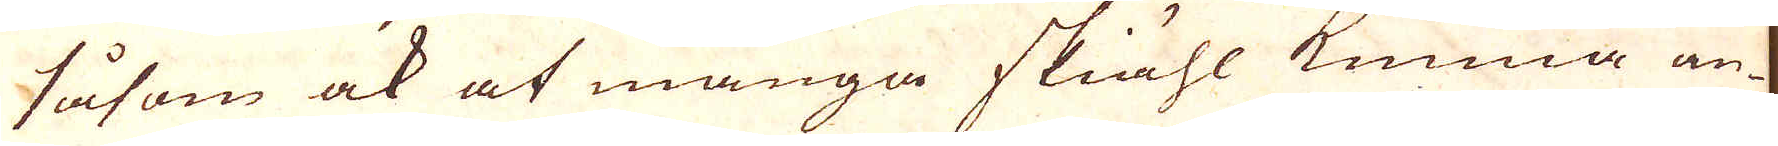såsom ock at många skiähl kunna an-
